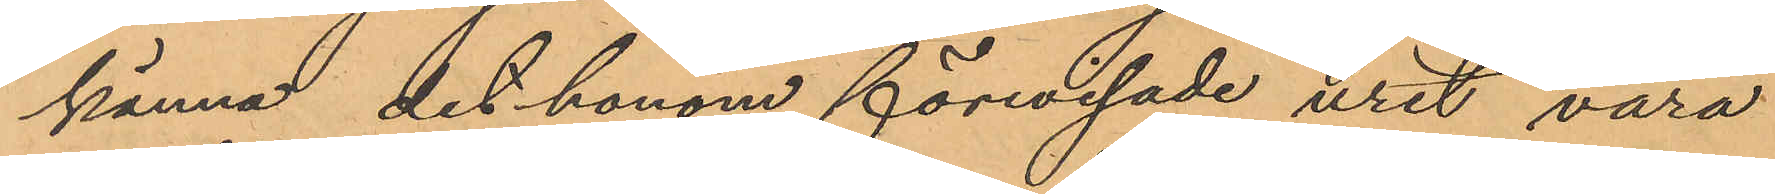känna det honom förevisade uret vara
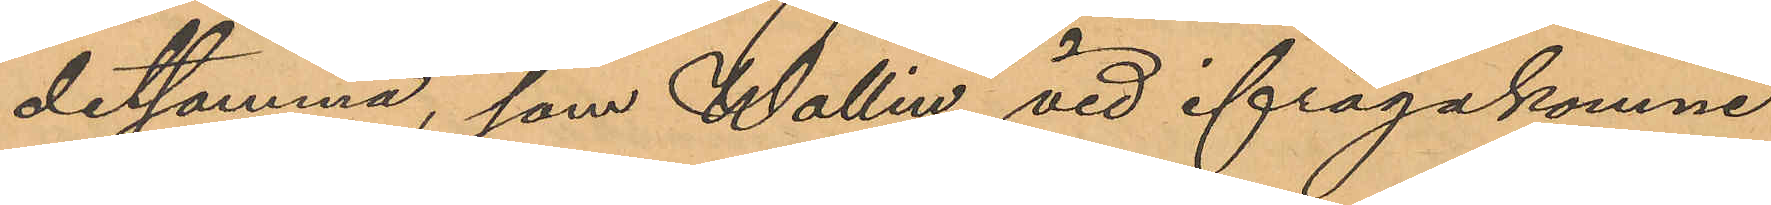detsamma, som Wallin vid ifrågakomne
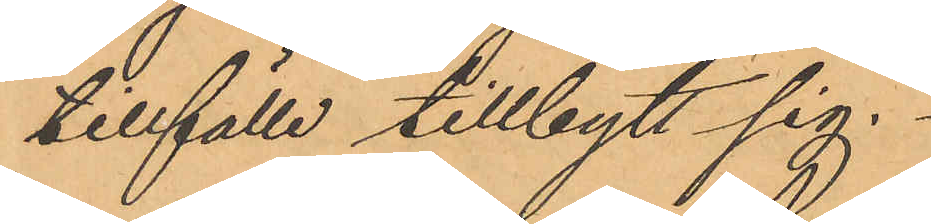tillfälle tillbytt sig.
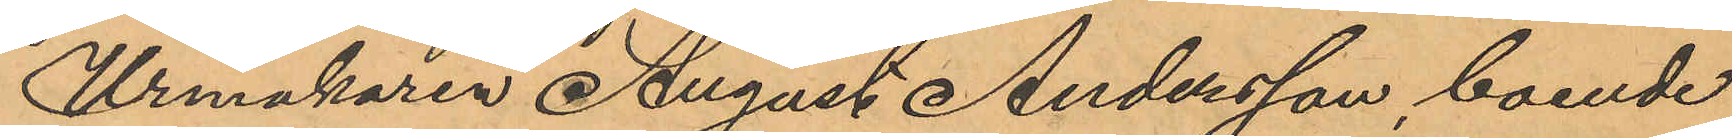Urmakaren August Andersson boende
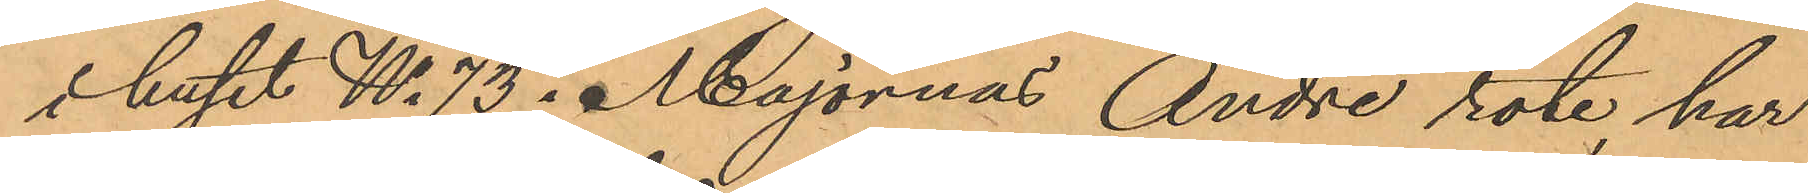i huset No 73 i Majornas Andre rote, har
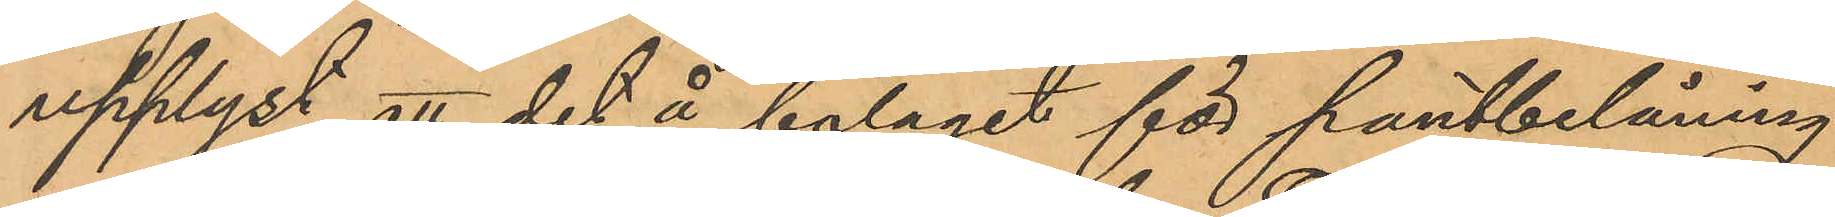upplyst att det å bolaget för pantbelåning
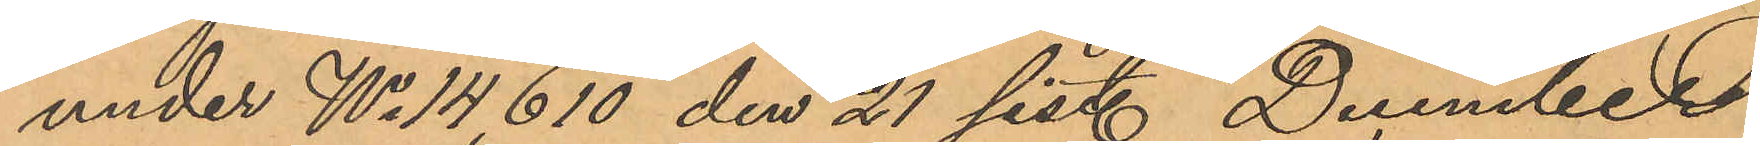under No 14, 610 den 21 sist. December
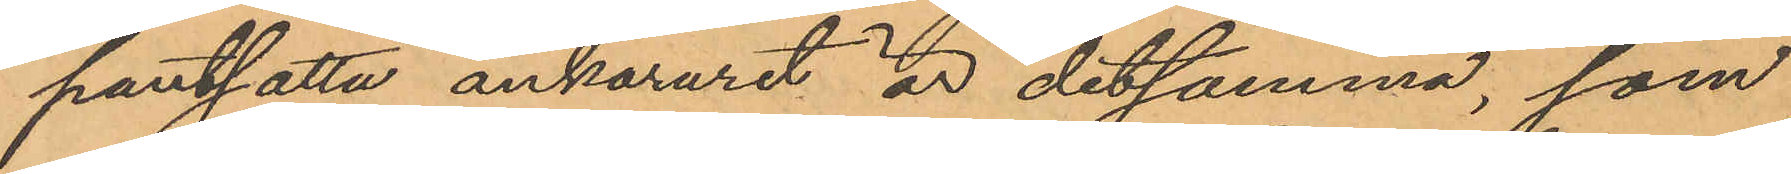pantsatta ankaruret är detsamma som
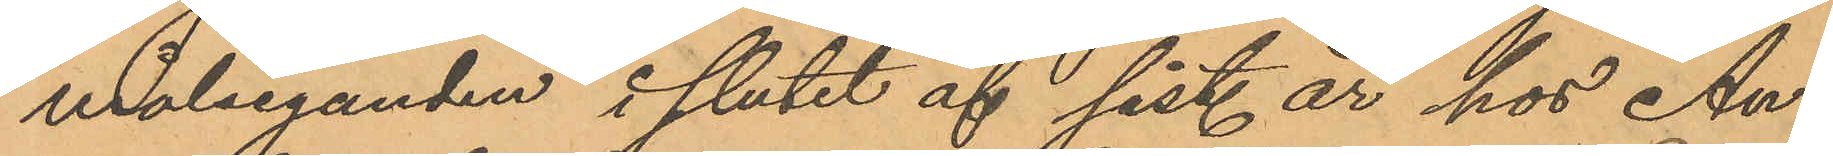målseganden i slutet af sist. år hos An¬
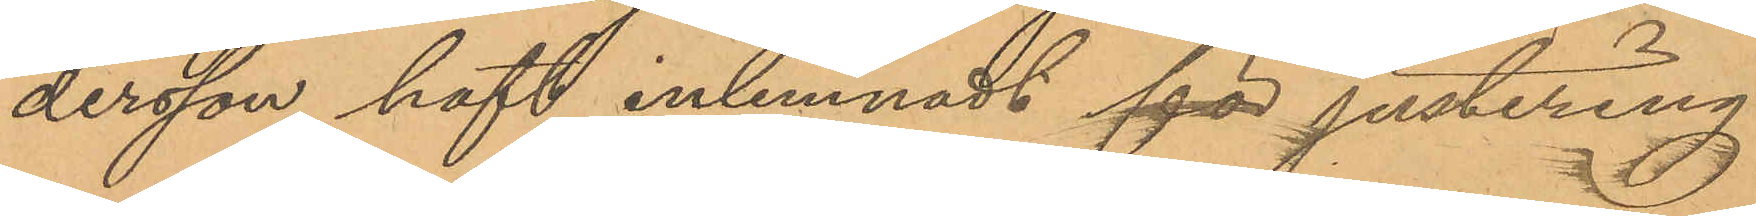dersson haft inlemnadt för justering.
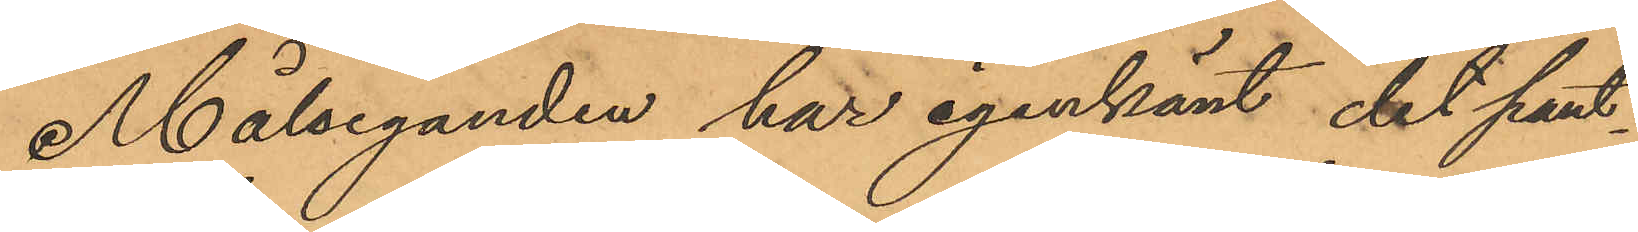Målseganden har igenkänt det pant¬
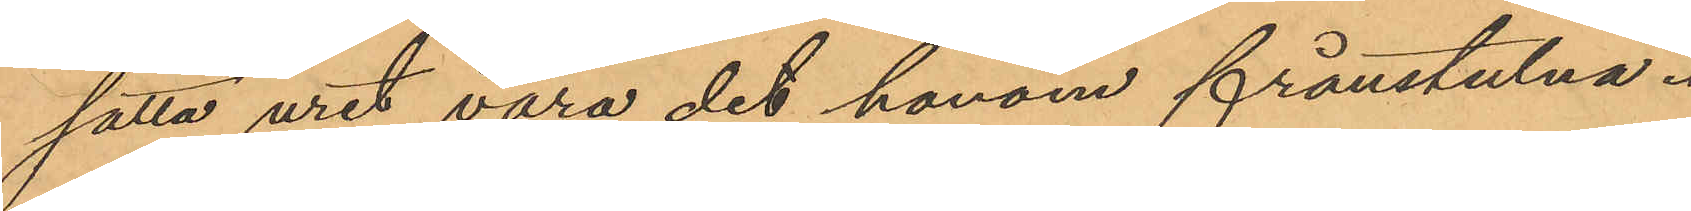satta uret vara det honom frånstulna.
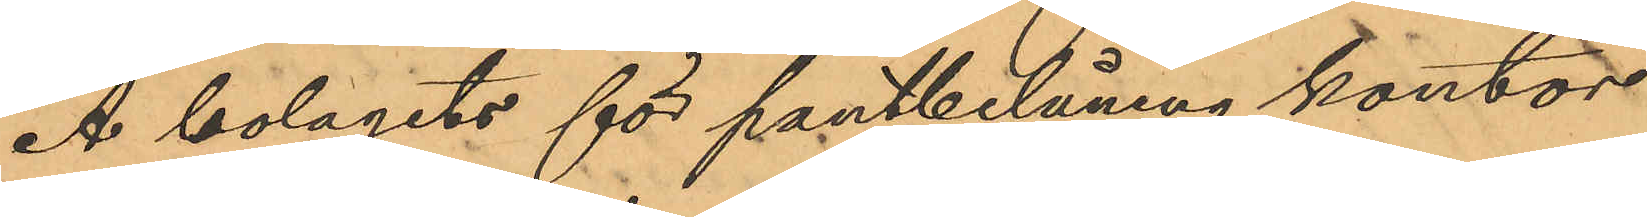Å bolagets för pantbelåning kontor
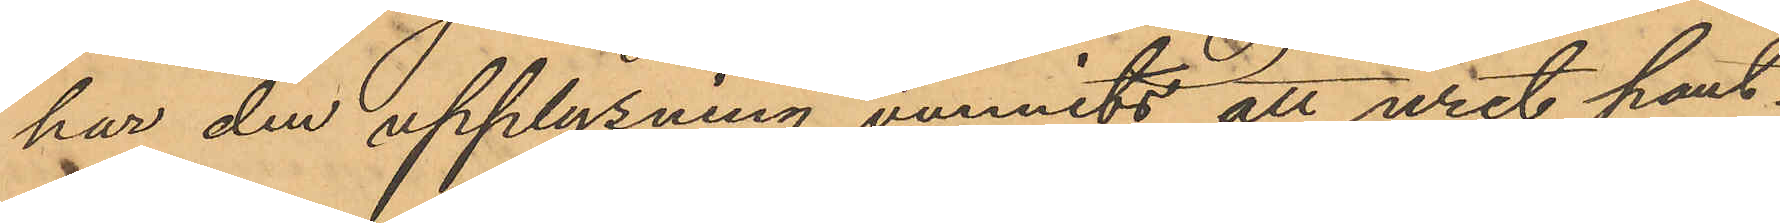har den upplysning vunnits att uret pant¬
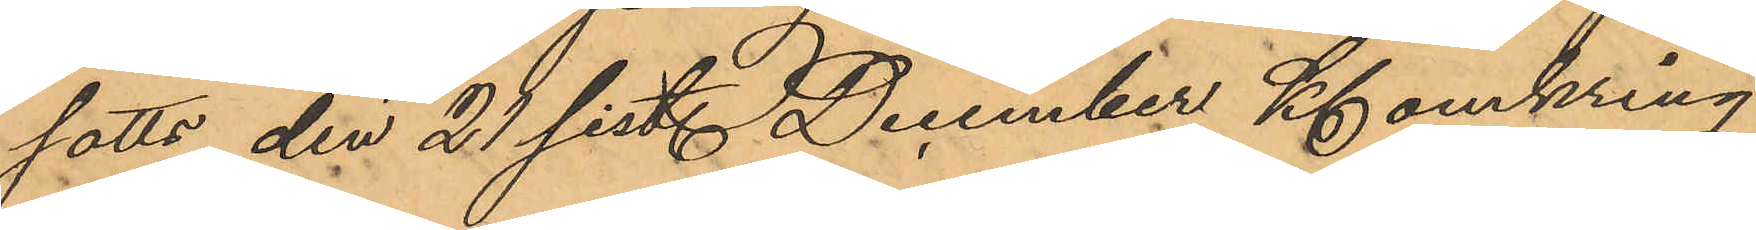satts den 21 sist. December Kl omkring
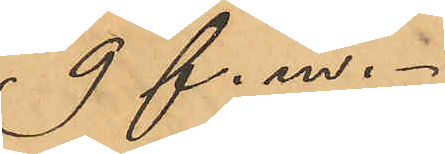9 f. m.
